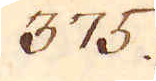375.
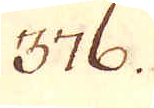376.
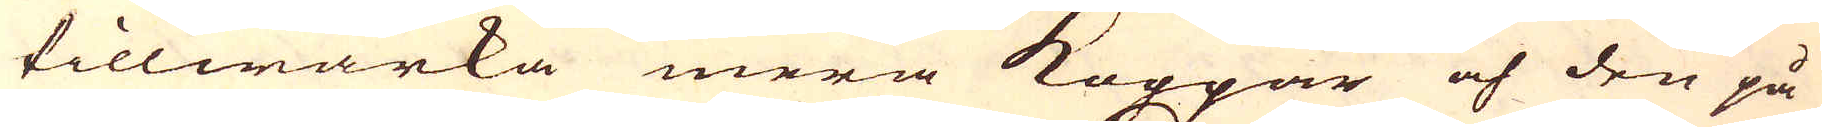tillwärka mera Koppar och den på
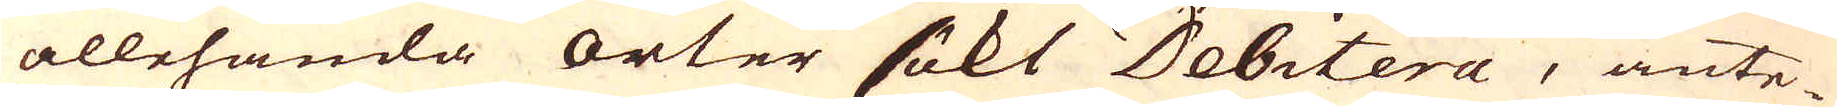allehanda orter sökt Debitera, ante-
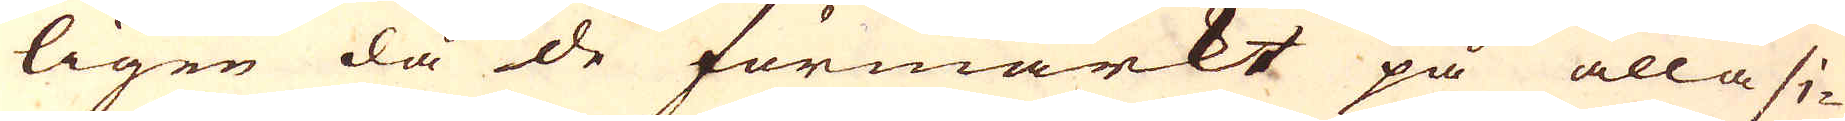ligen då de förmärkt på alla si-
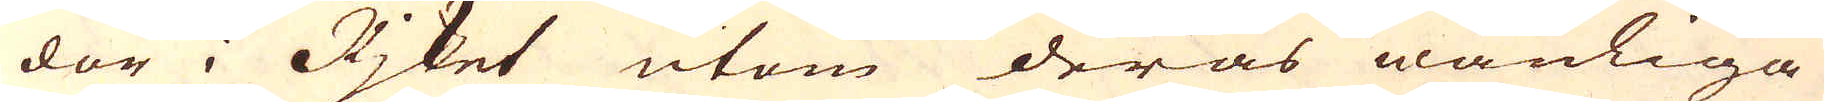dir i Rjket utom deras wanliga
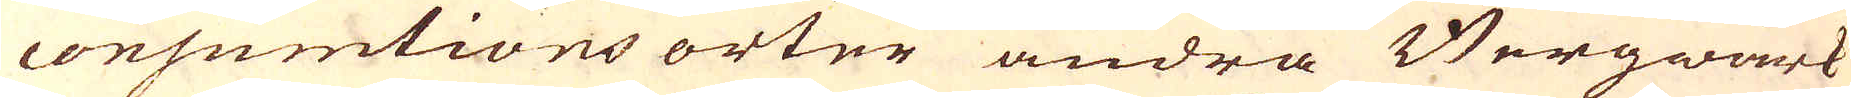consumtions orter andra Bergwärk
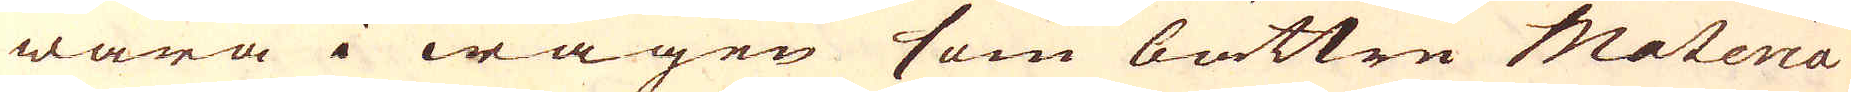wara i wägen som bättre Materia
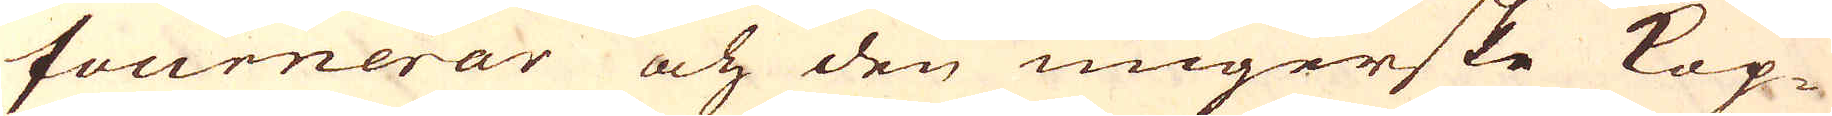fournerar och den ungerske Kop-
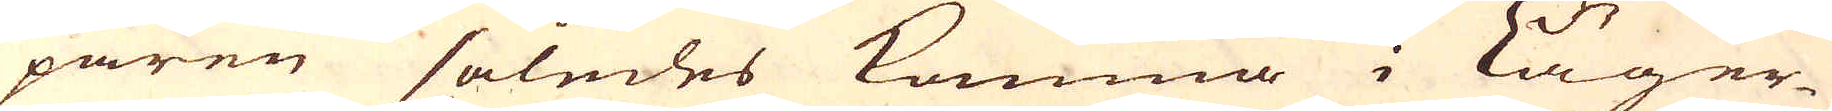paren således komma i Läger-
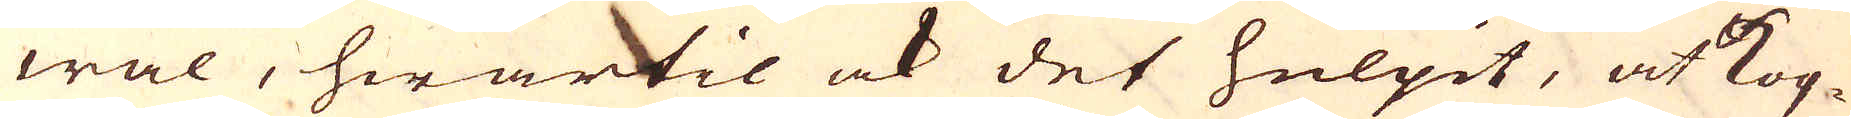wal, hwartil ock det hulpit, at kop-
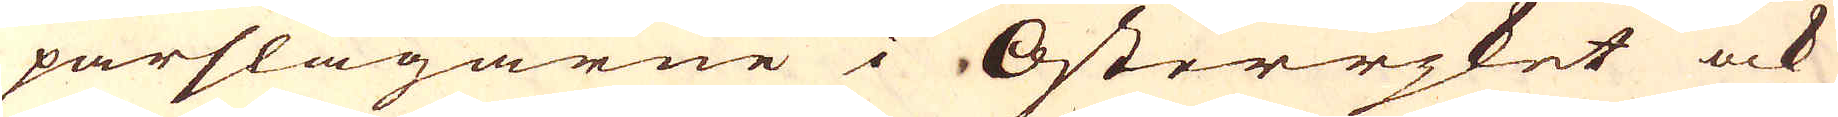parslagarne i Österrijket ock
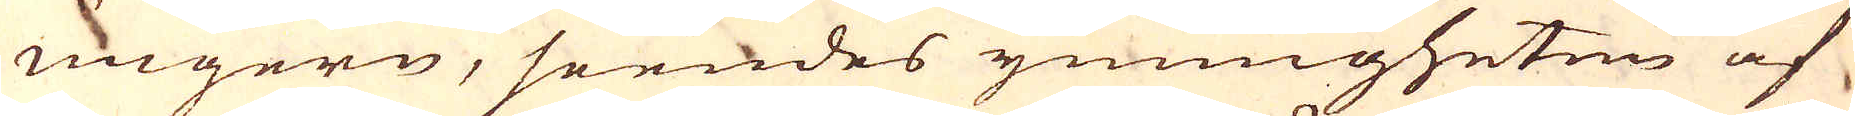Ungern, seendes ymnigheten af
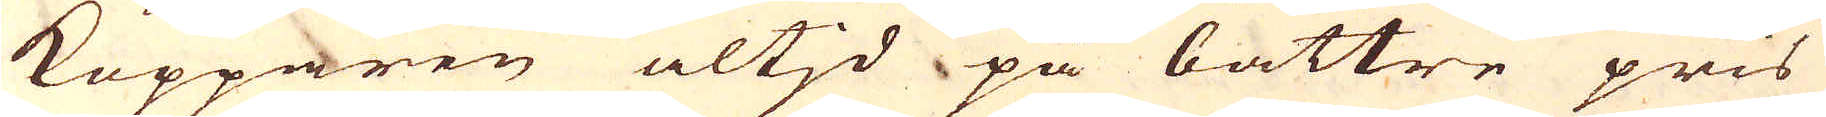Kopparen altjd på bättre pris
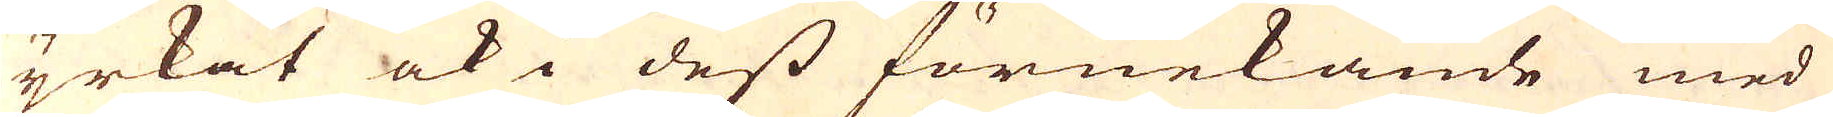yrkat ock i dess förnekande med
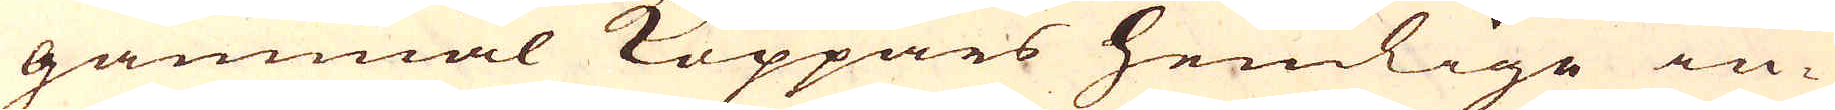gammal Koppars hemlige in-
